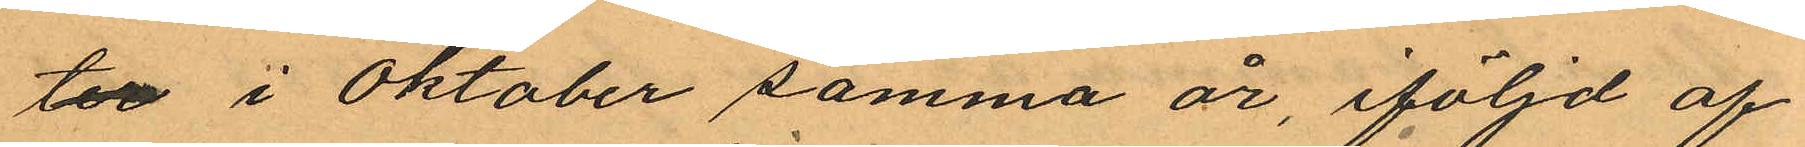ter i Oktober samma år, iföljd af
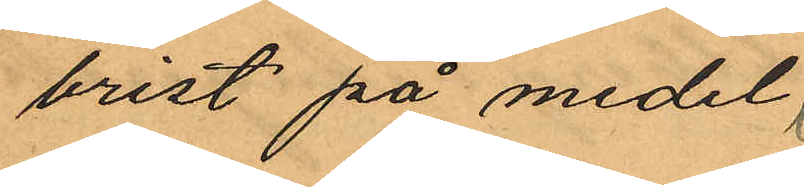brist på medel;
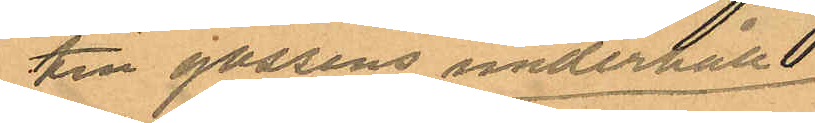till gossens underhåll
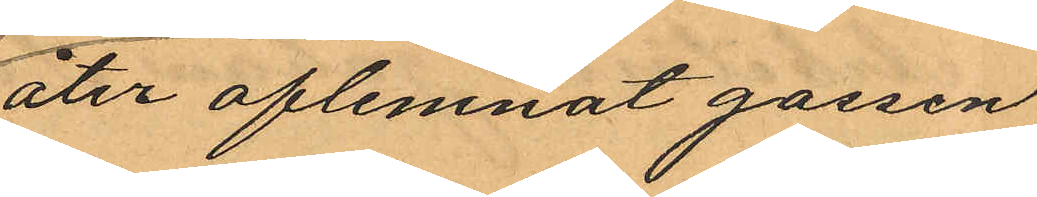åter aflemnat gossen
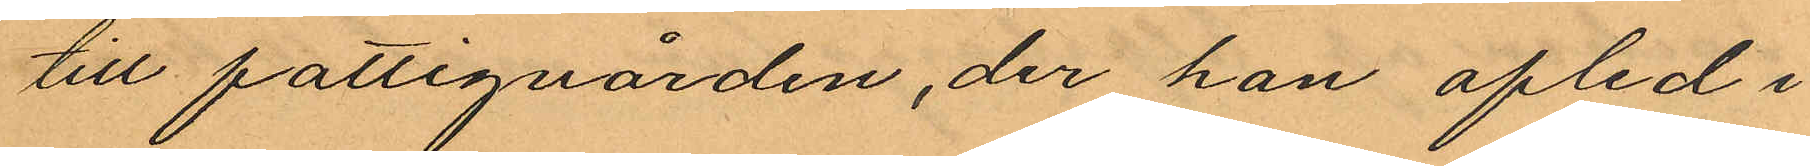till fattigvården, der han afled i
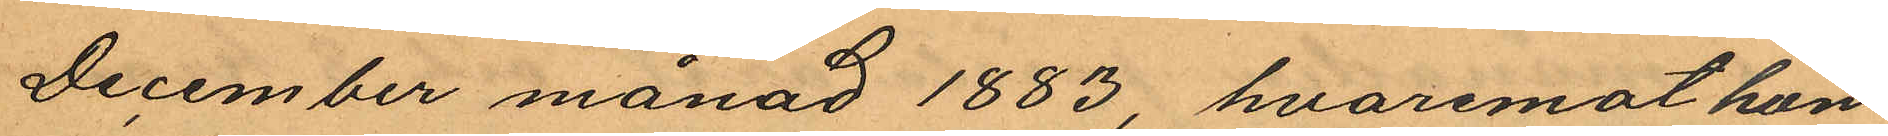December månad 1883, hvaremot hon
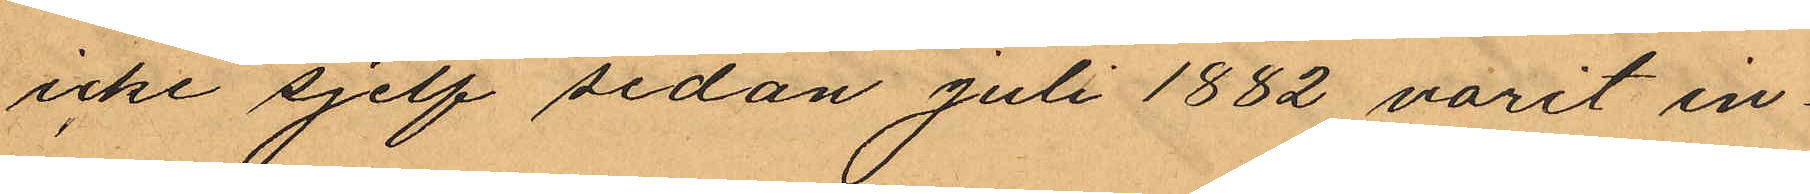icke sjelf sedan juli 1882 varit in¬
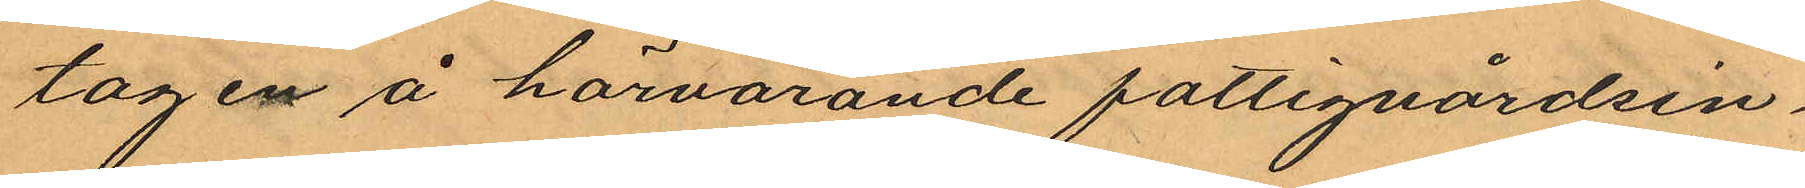tagen å härvarande fattigvårdsin¬
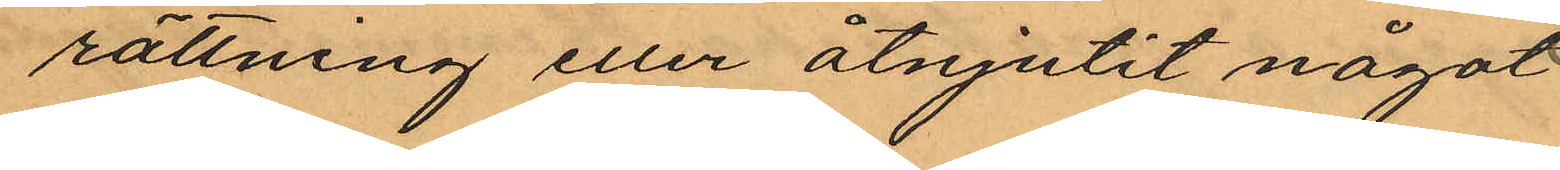rättning eller åtnjutit något
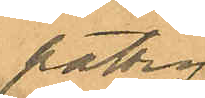fattig
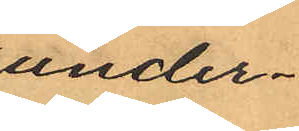under
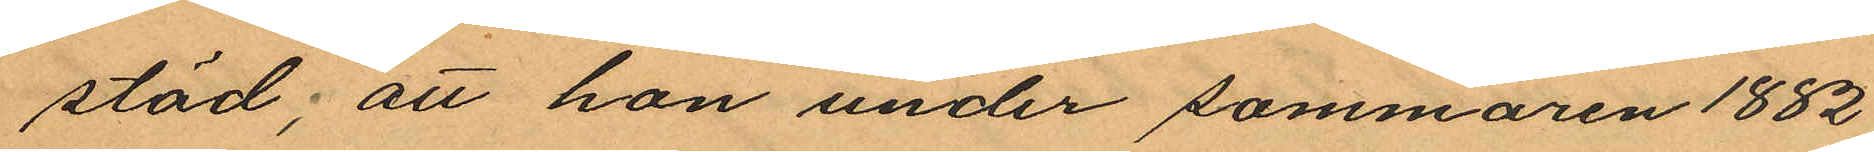stöd; att hon under sommaren 1882
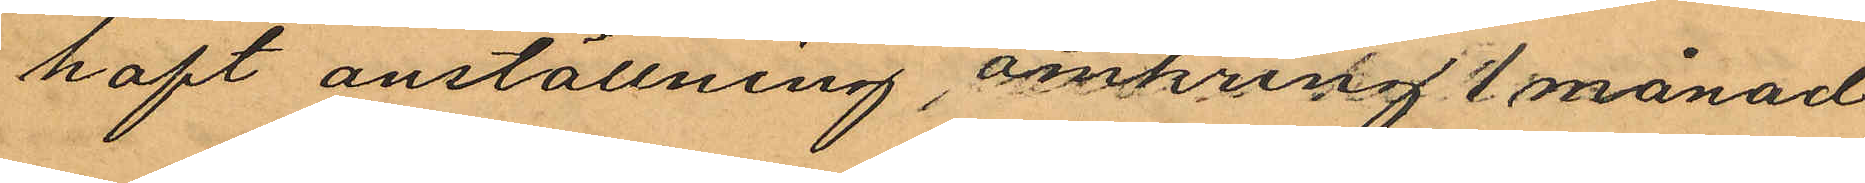haft anställning, omkring 1 månad
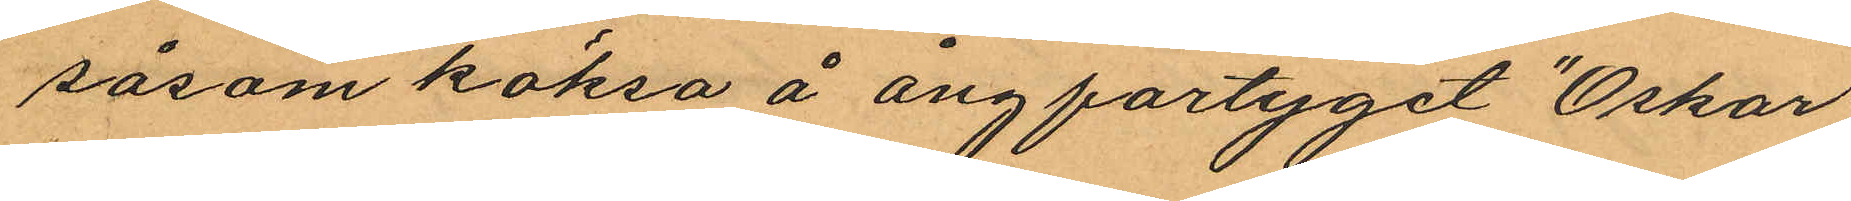såsom köksa å ångfartyget "Oskar
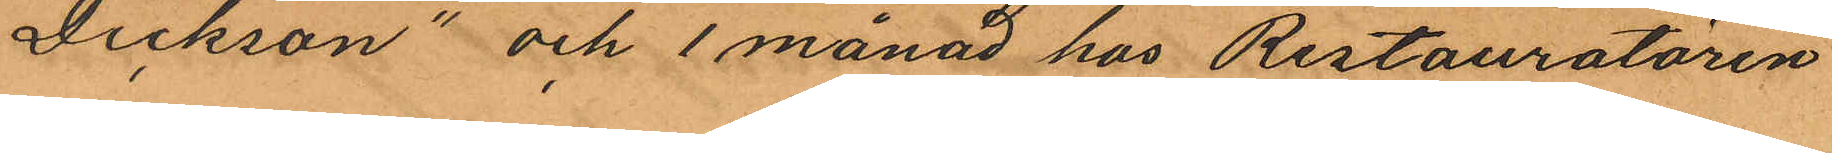Dickson" och 1 månad hos Restauratören
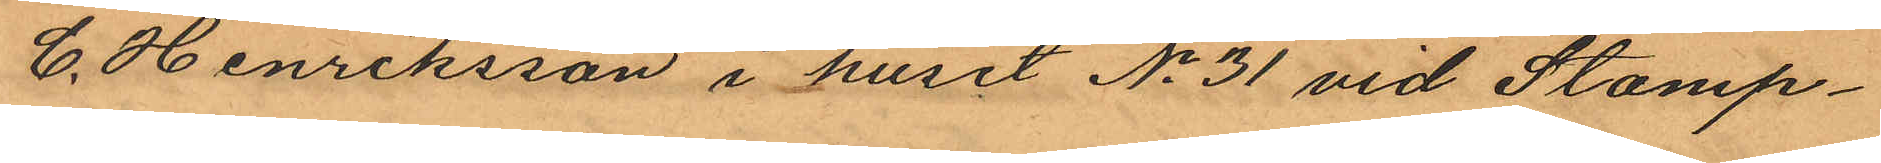C. Henriksson i huset No 31 vid Stamp¬
